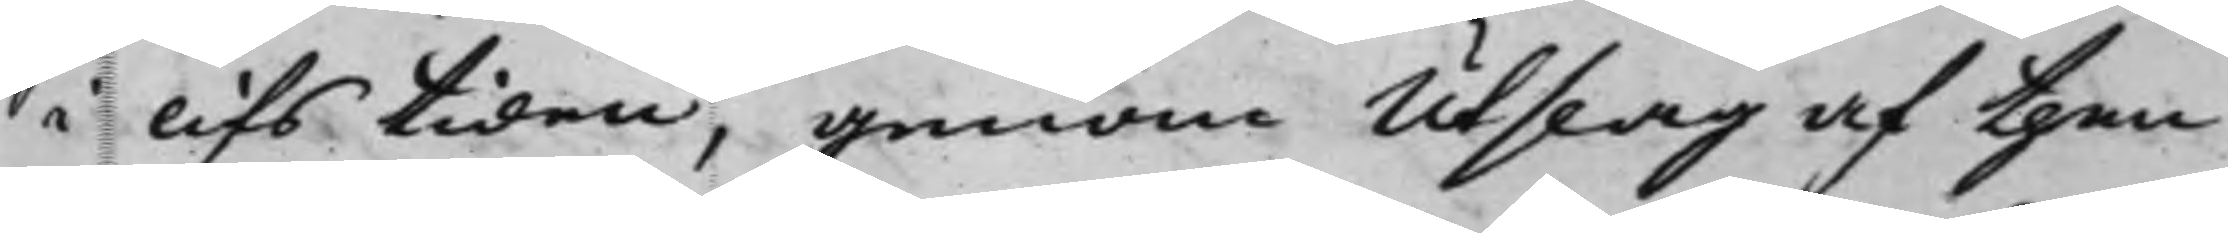i lifstiden, genom Utslag af then
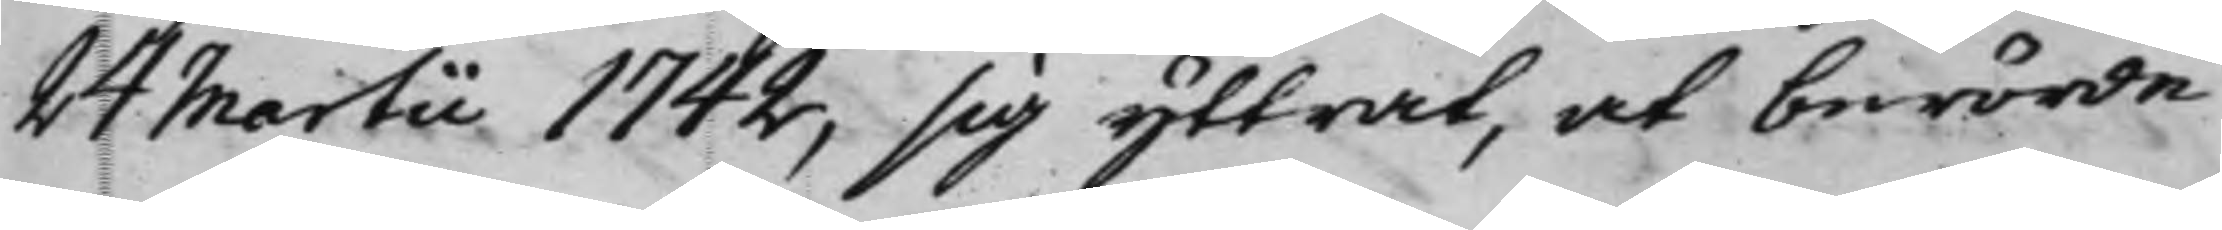24 Martii 1742, sig yttrat, at berörde
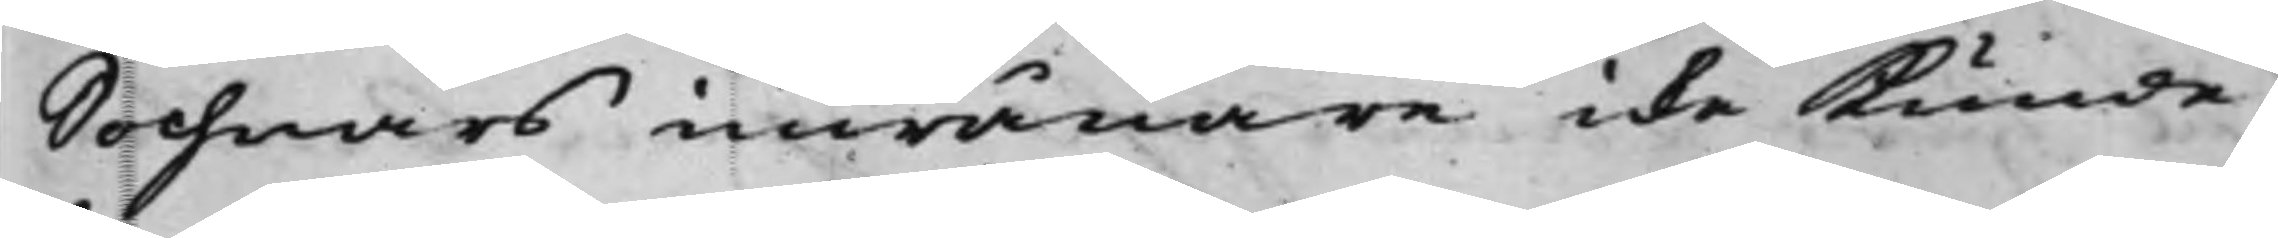Sochnars inwånare icke kunde
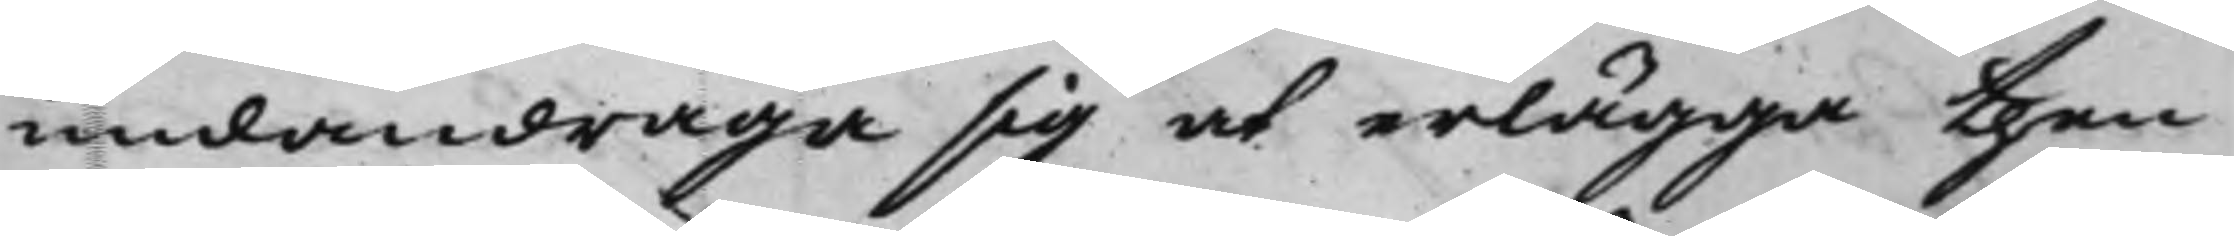undandraga sig at erlägga then
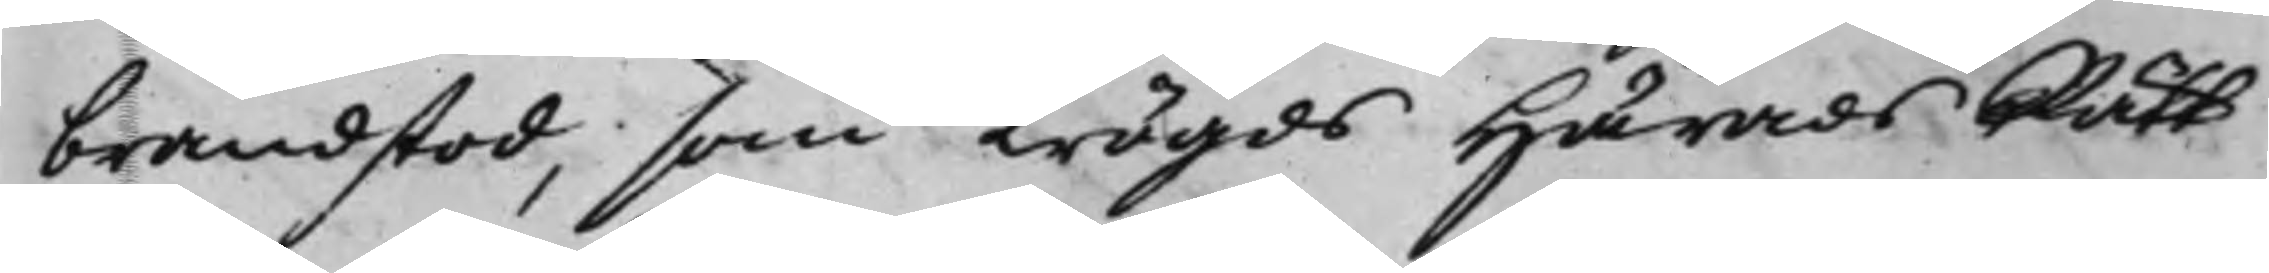brandstod, som Trögds HäradsRätt
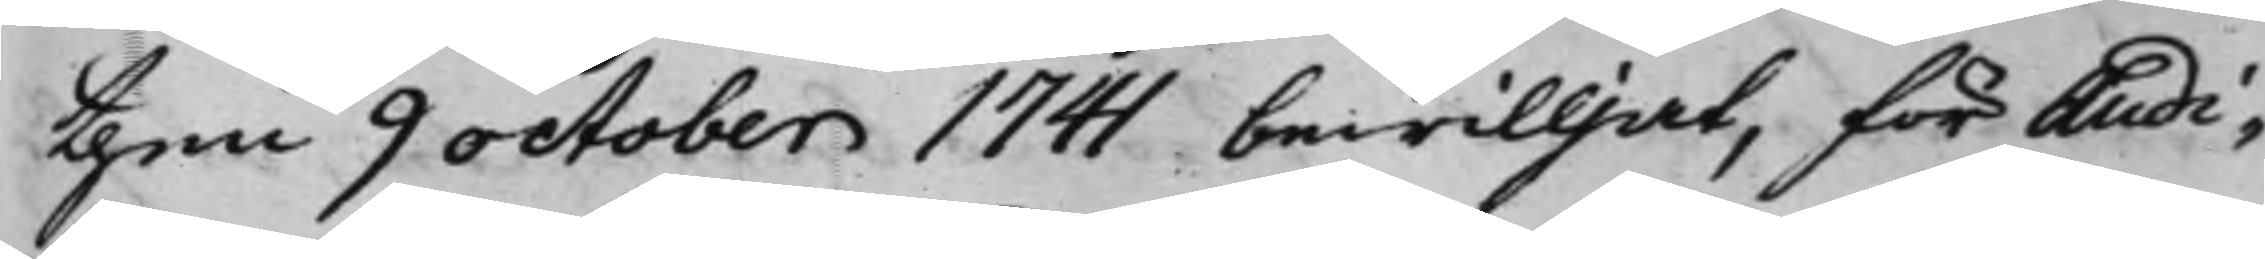then 9 october 1741 bewilljat, för Audi¬
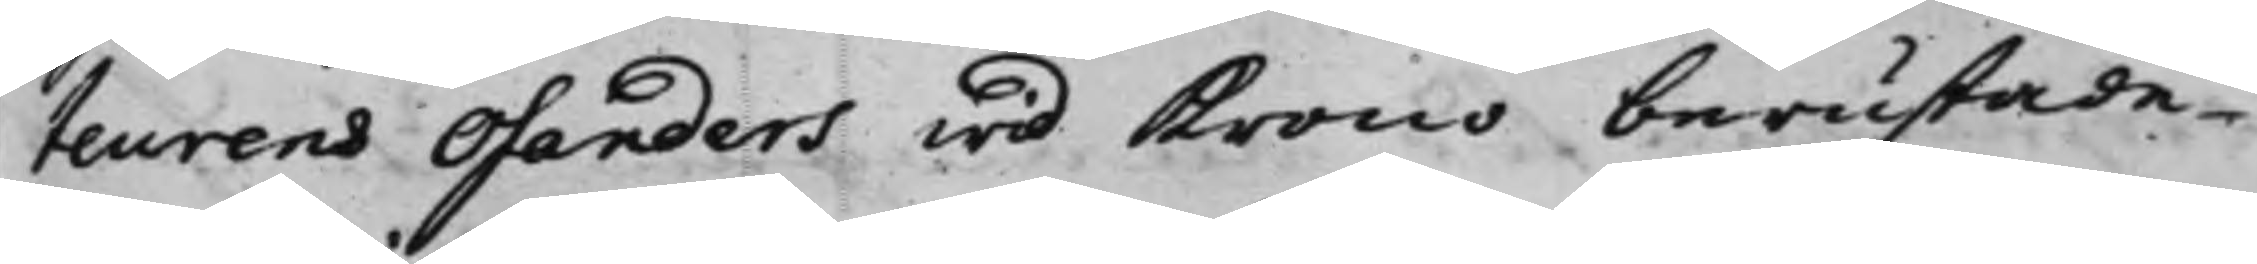teurens Osanders wid Krono berustade
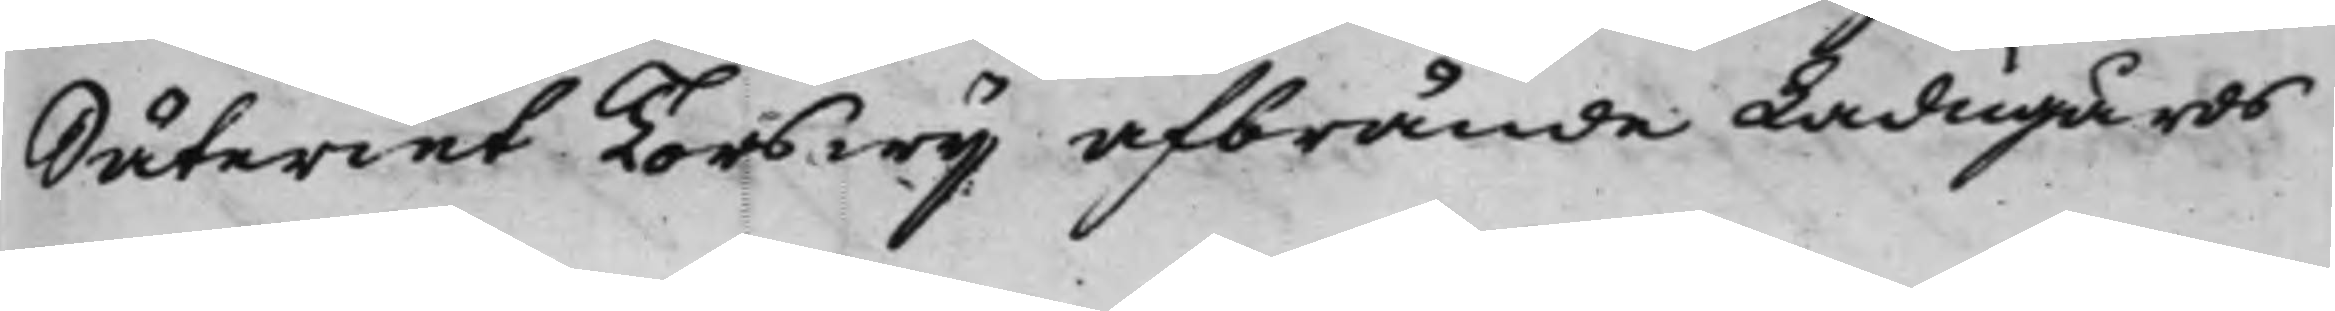Säteriet Torswij afbrände Ladugårds
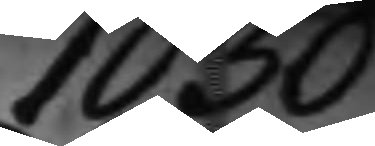1030
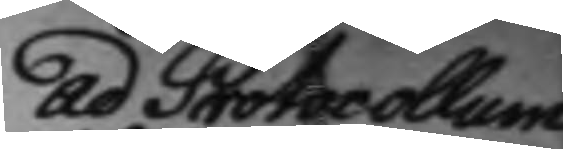ad Protocollum
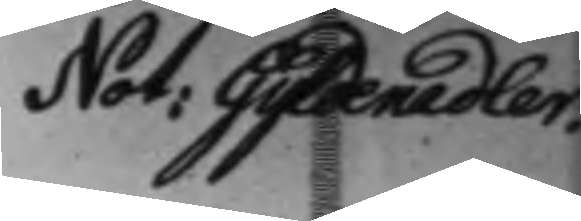Not: Gyldenadler.
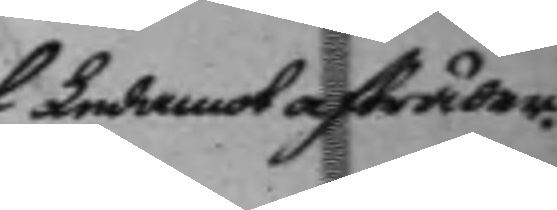Ledamot afträder.
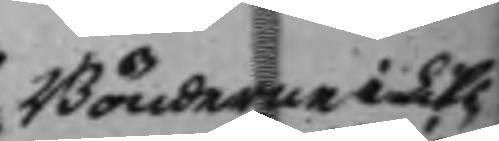Bönderne i Lits¬
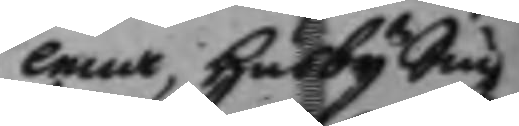lena, Husby Siu¬
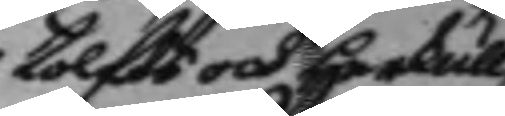tolfts och Herkull¬
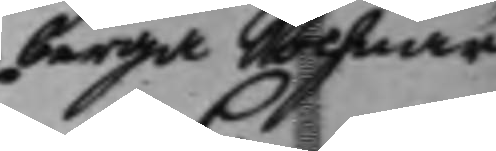berga Sochnar
